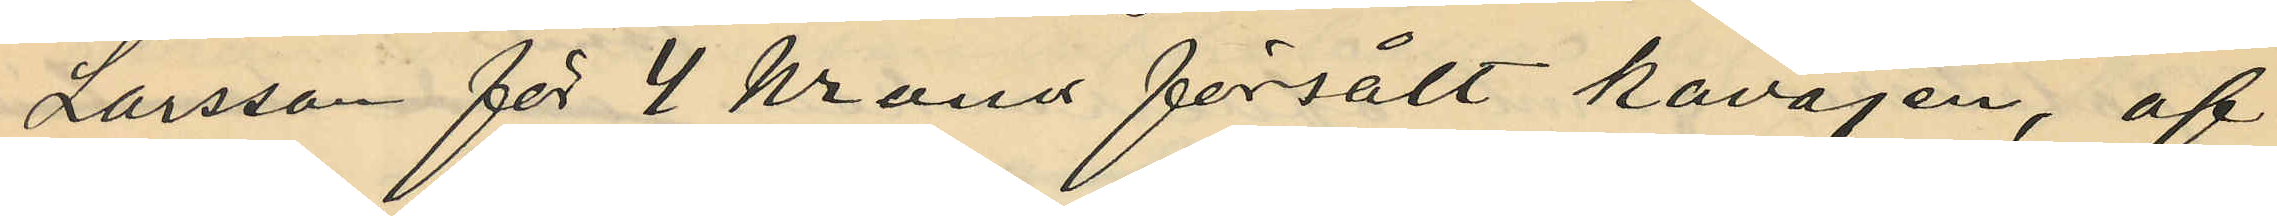Larsson för 4 kronor försålt kavajen, af
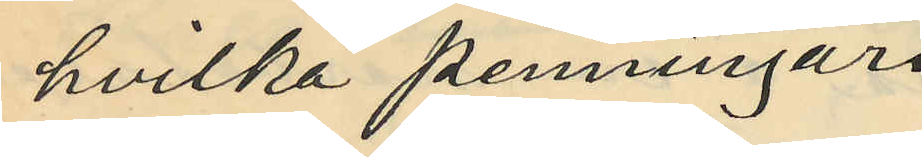hvilka penningar
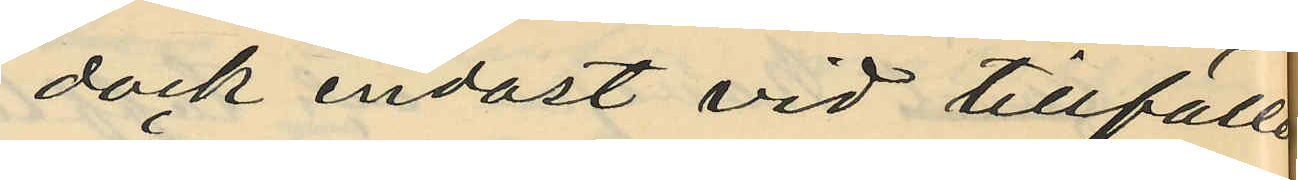dock endast vid tillfälle
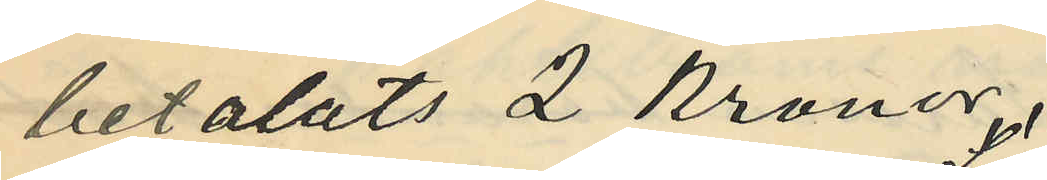betalats 2 kronor.
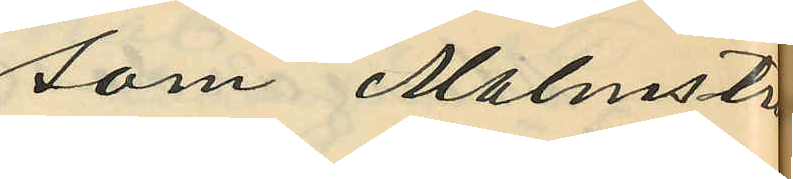som Malmström
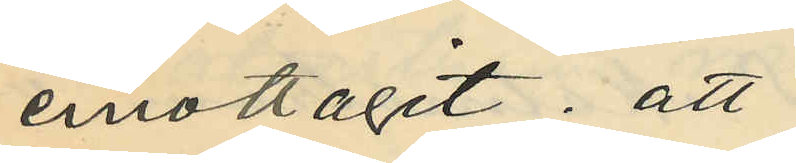emottagit; att
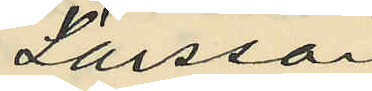Larsson
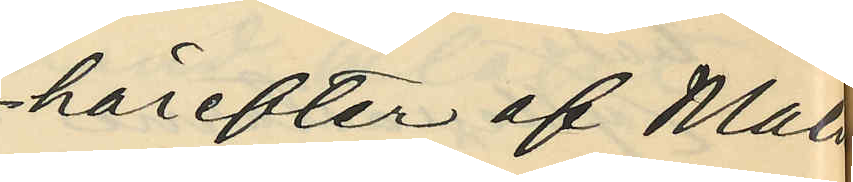härefter af Malm¬
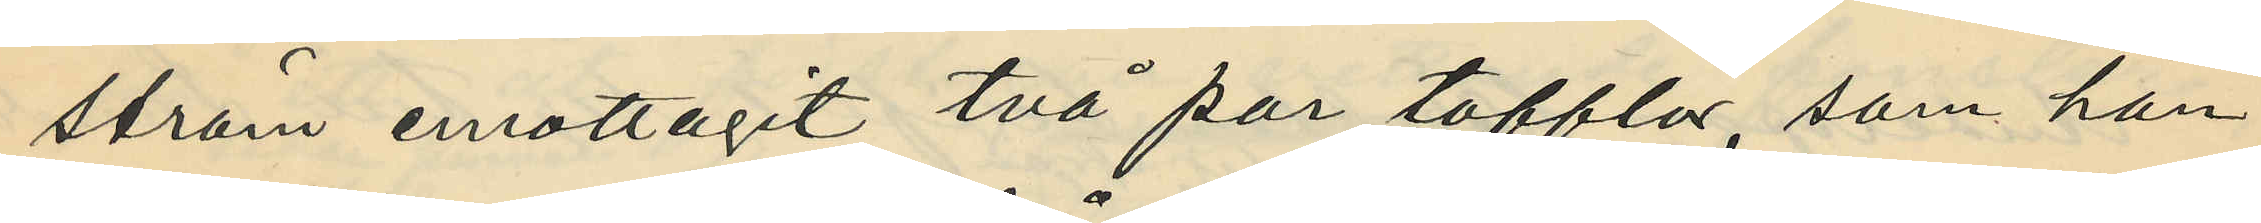ström emottagit två par tofflor, som han
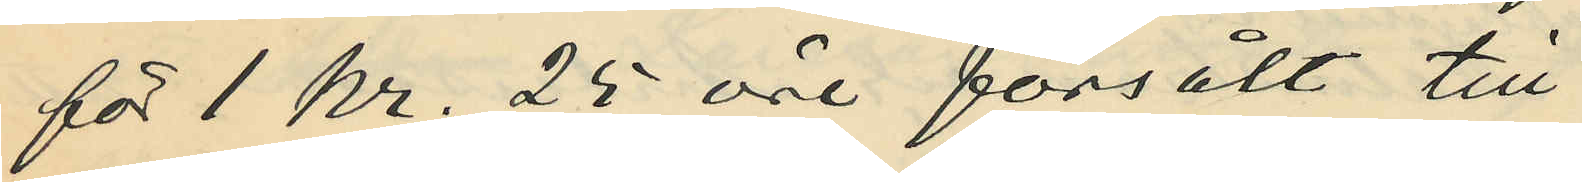för 1 kr. 25 öre försålt till
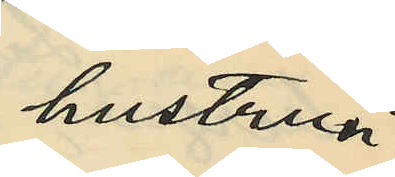hustrun
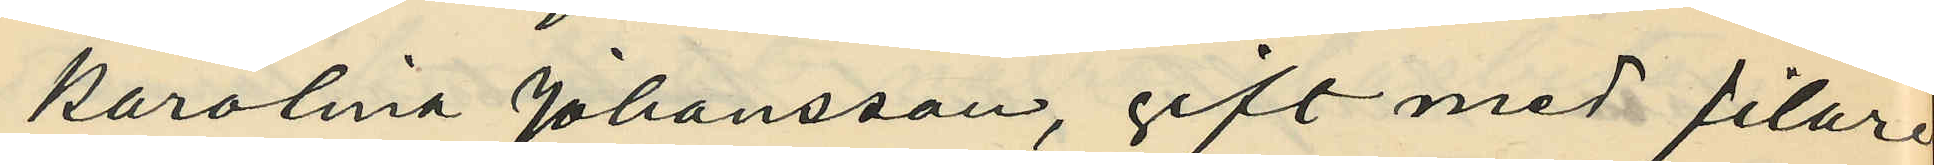Karolina Johansson, gift med filare
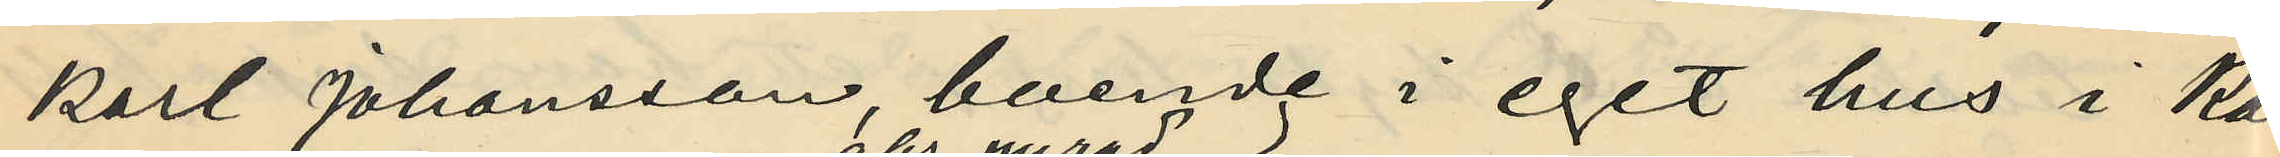Karl Johansson, boende i eget hus i Karl¬
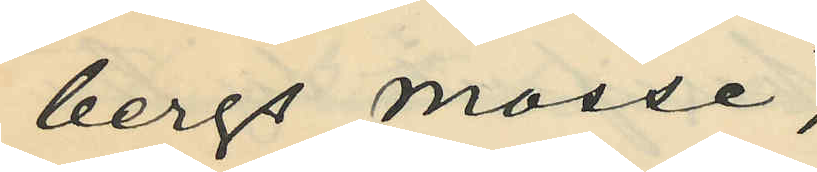bergs mosse,
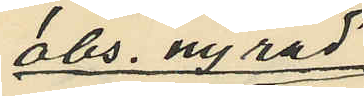obs nyrad
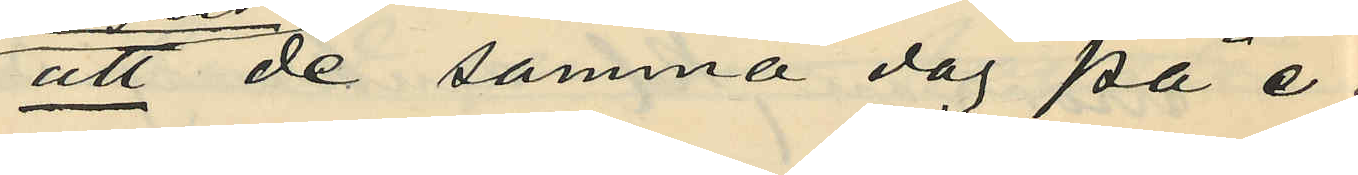att de samma dag på e.m.
